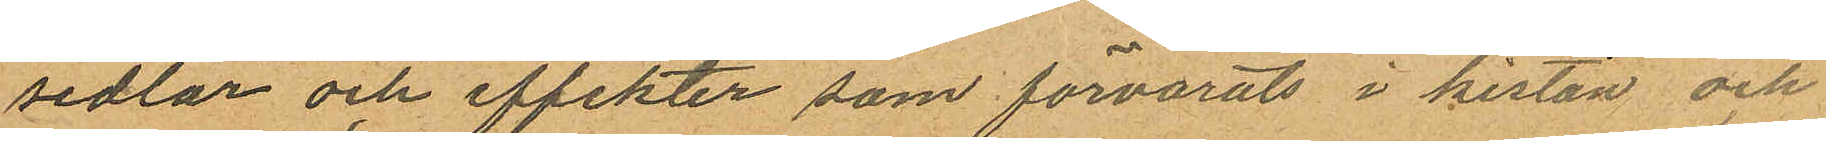sedlar och effekter som förvarats i kistan och
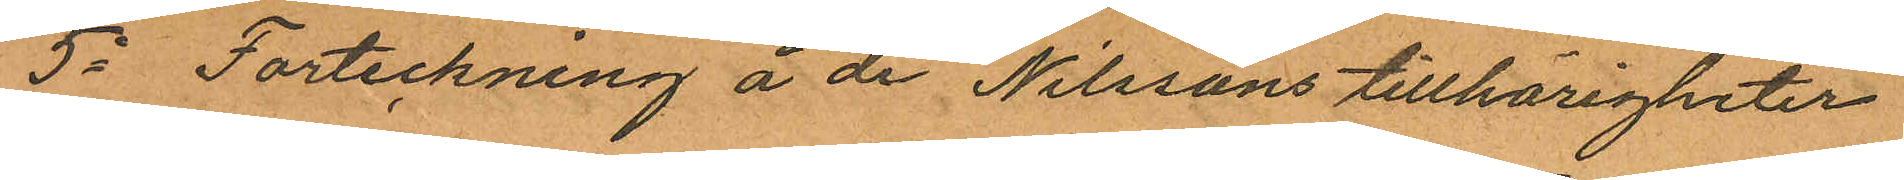5o Forteckning å de Nilssons tillhörigheter
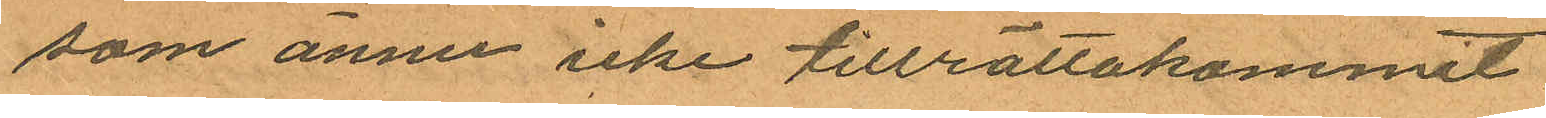som ännu icke tillrättakommit.
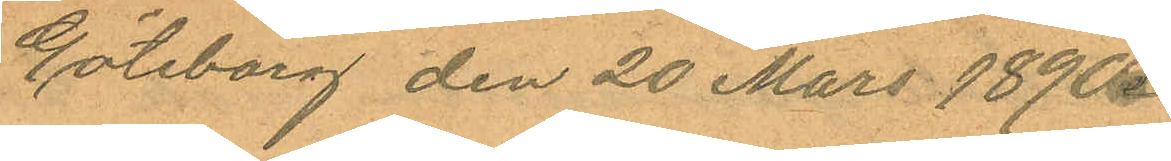Göteborg den 20 Mars 1890.
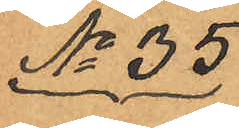No 35
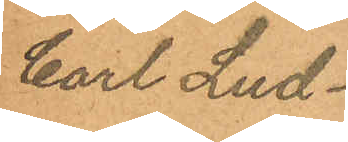Carl Lud¬
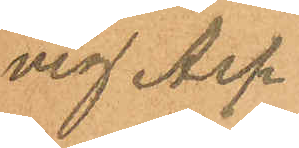vig Asp¬
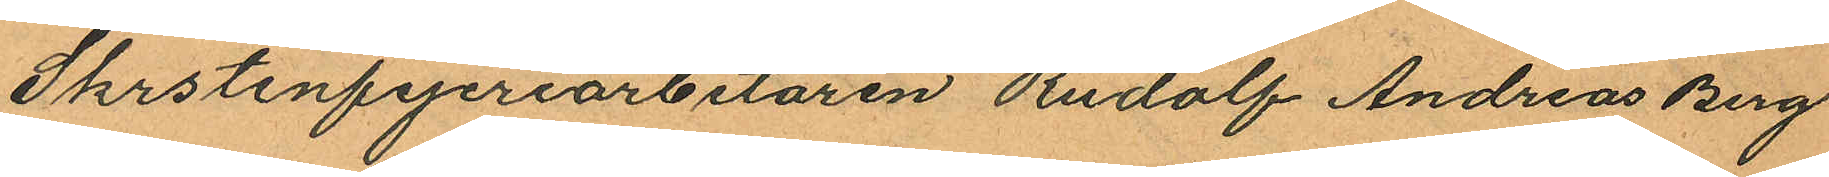Skrstenfejeriarbetaren Rudolf Andreas Berg
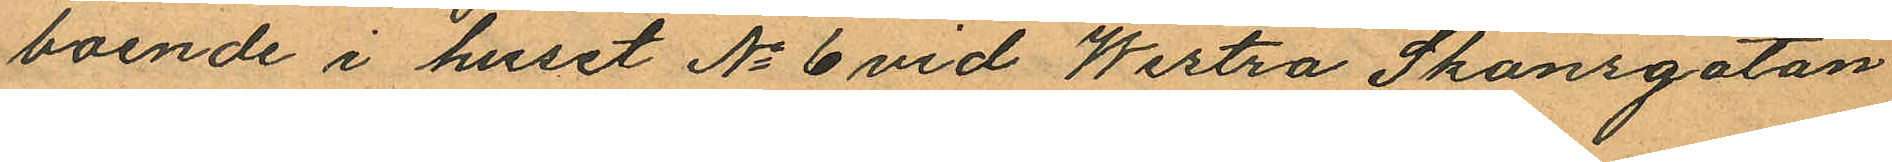boende i huset No 6 vid Westra Skansgatan
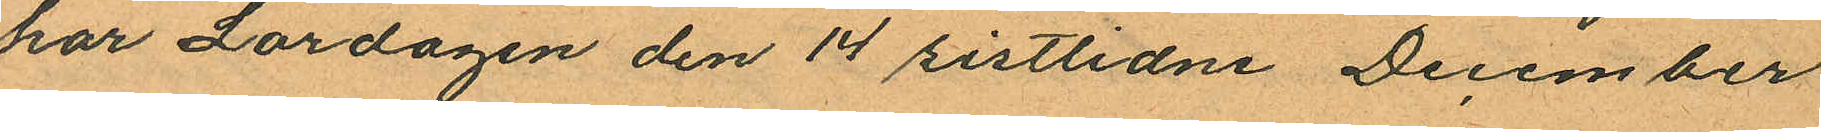har Lördagen den 14 sistlidne December
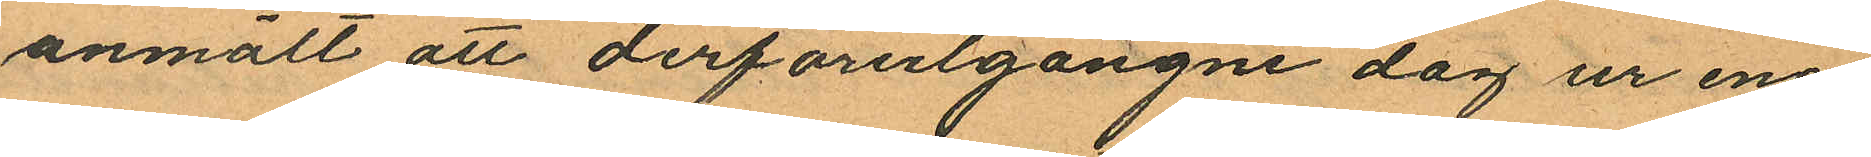anmält att derförutgångne dag ur ena
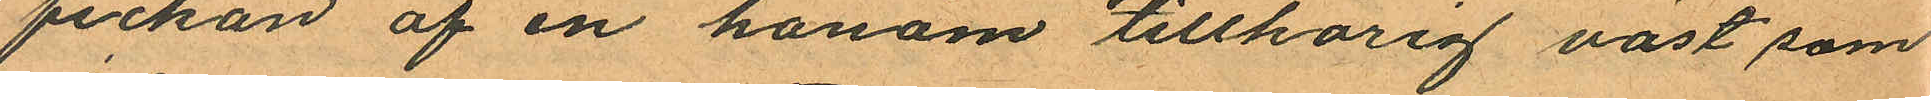fickan af en honom tillhörig väst som
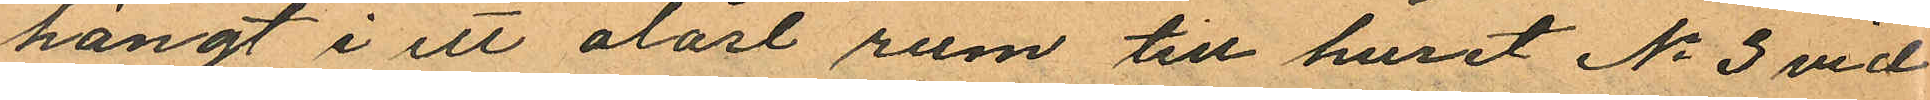hängt i ett olåst rum till huset No 3 vid
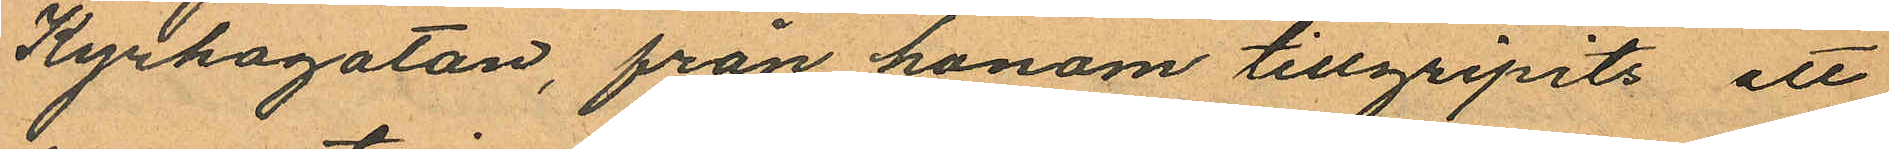Kyrkogatan, från honom tillgripits ett
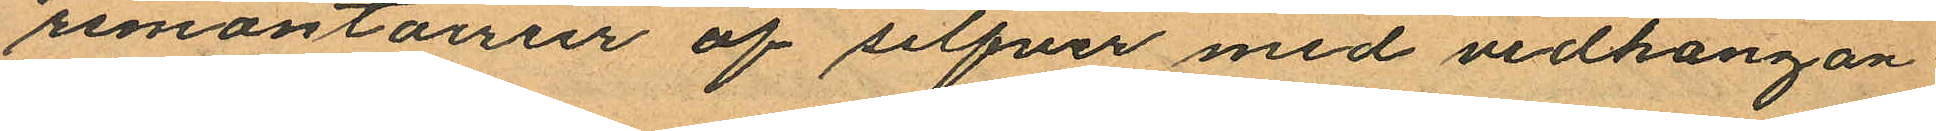remontairur af silfver med vidhängan¬
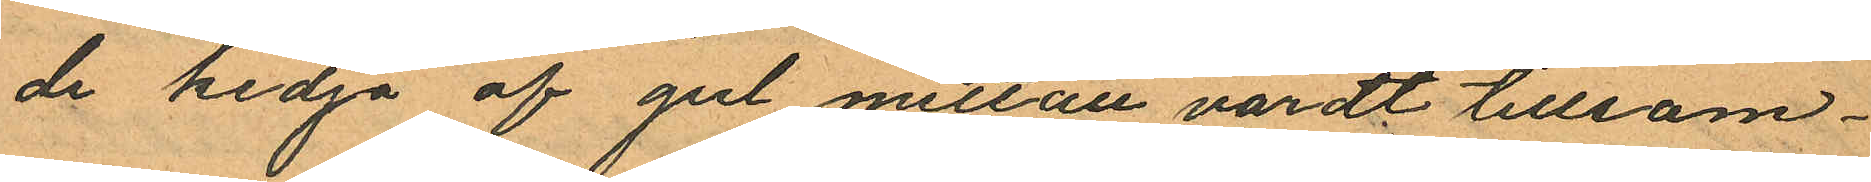de kedja af gul mettall värdt tillsam¬
